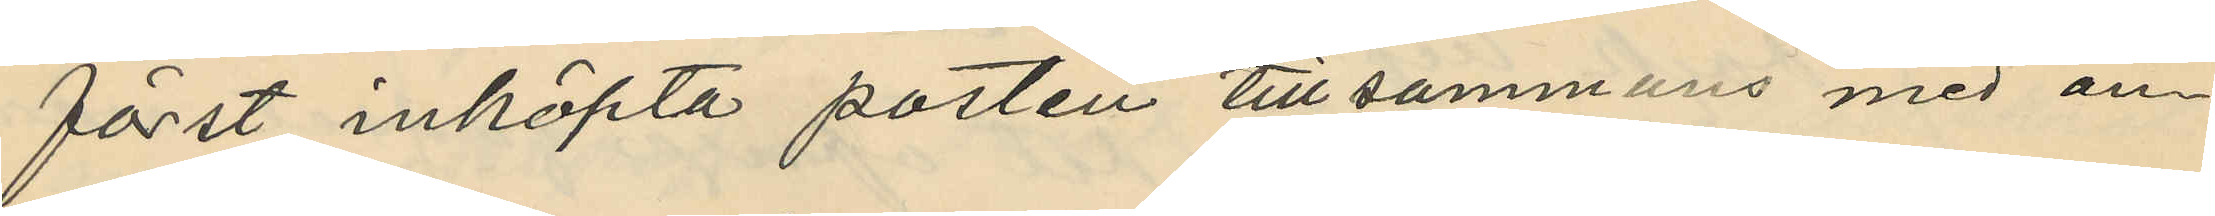först inköpta posten tillsammans med an¬
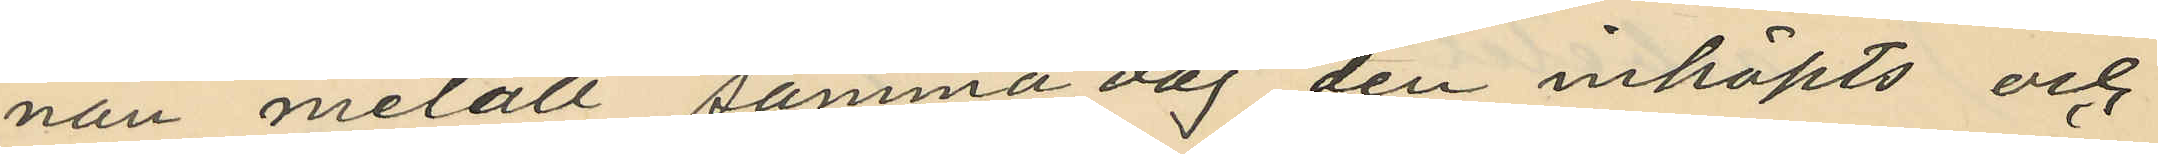nan metall samma dag den inköpts och
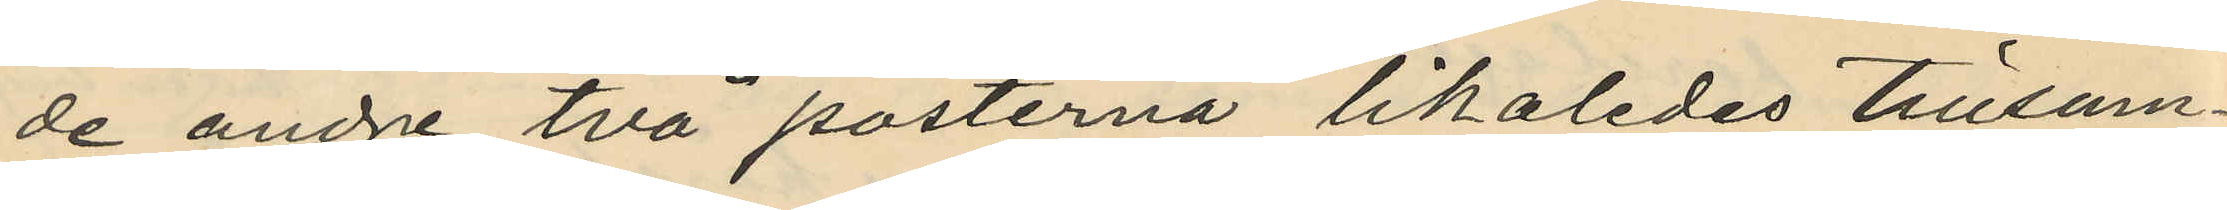de andre två posterna likaledes tillsam¬
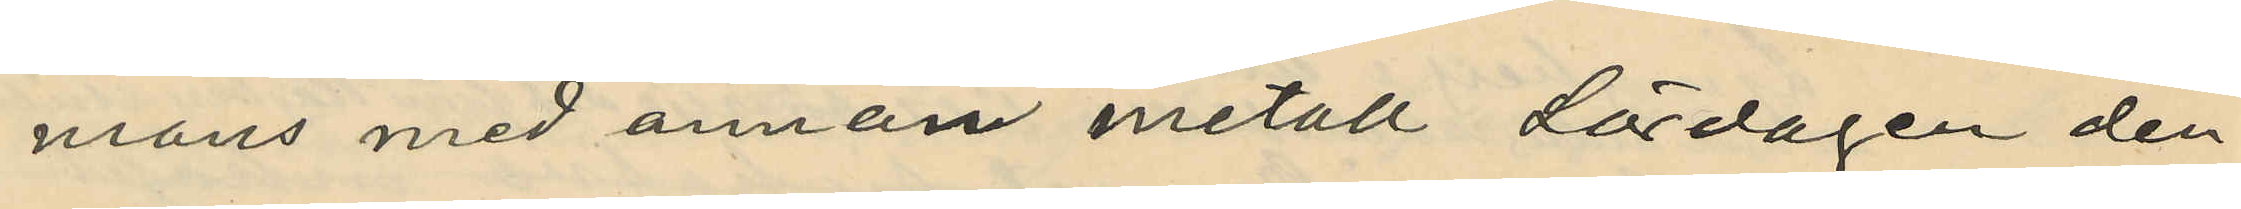mans med annan metall Lördagen den
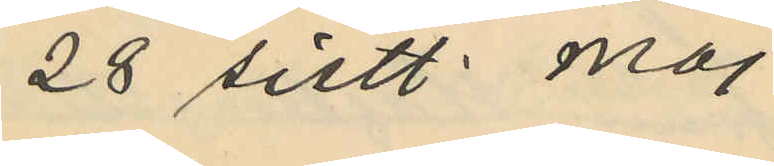28 sistl. Maj
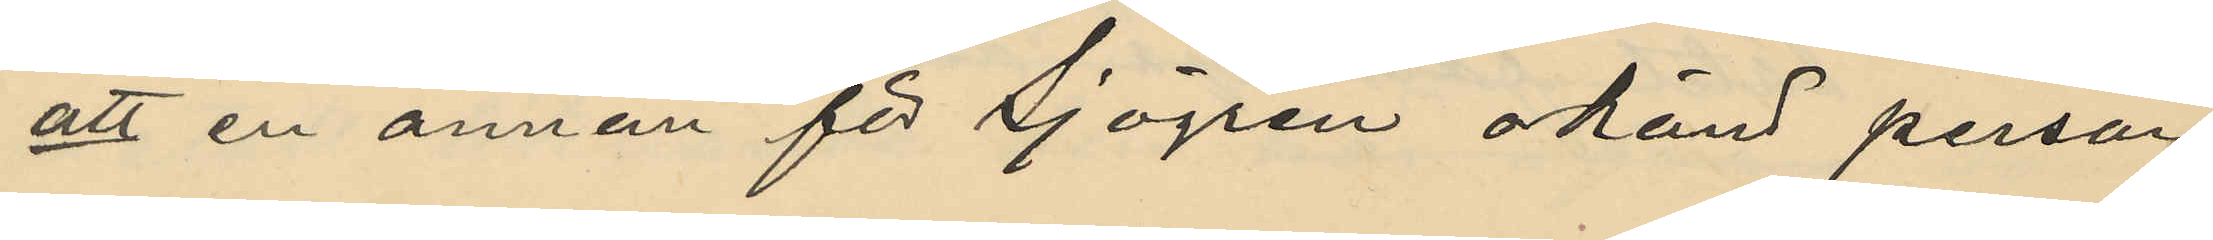att en annan för Sjögren okänd person
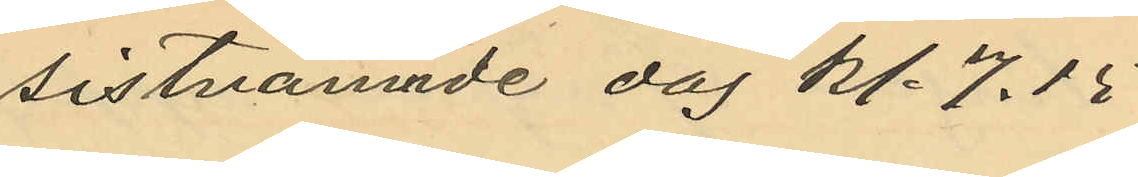sistnämnde dag kl. 7.15
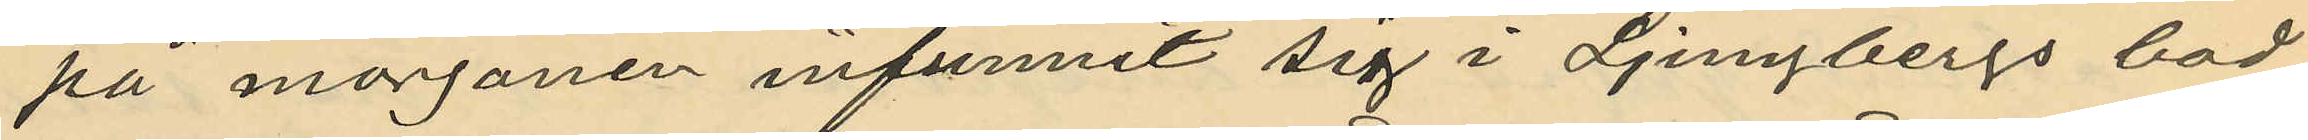på morgonen infunnit sig i Ljungbergs bod
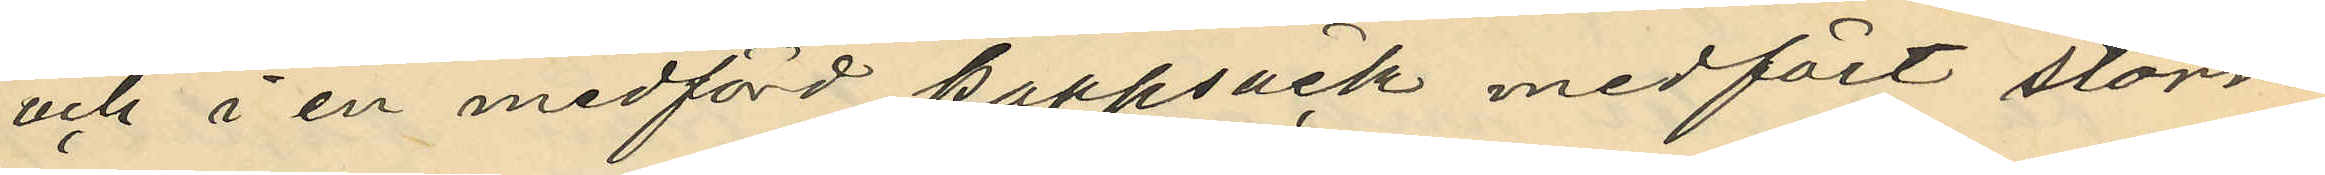och i en medförd kappsäck medfört större
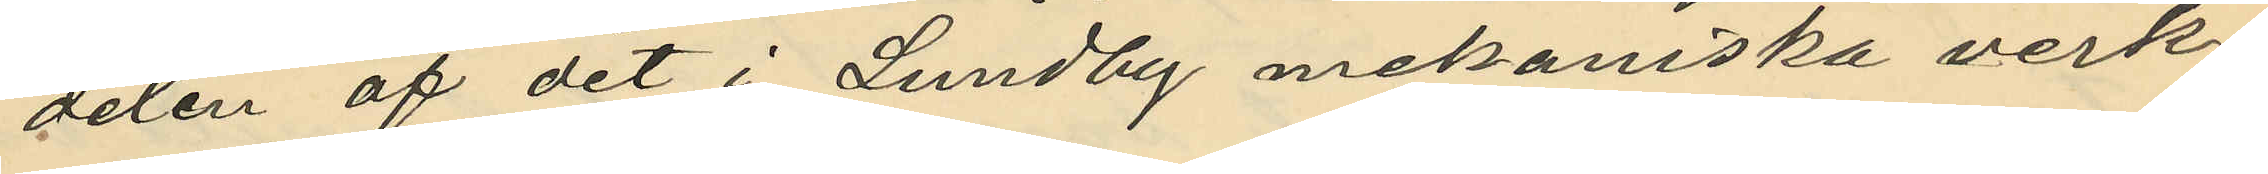delen af det i Lundby mekaniska verk¬
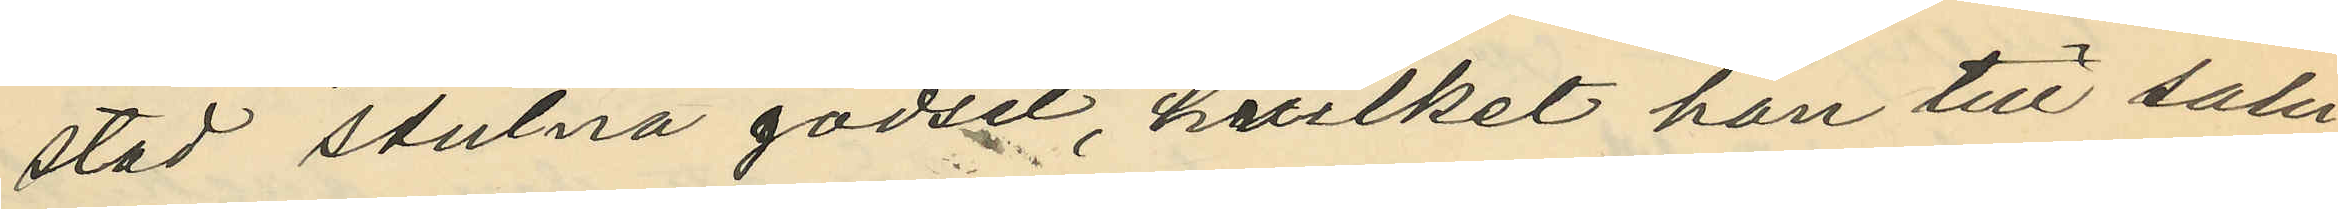stad stulna godset, hvilket han till salu
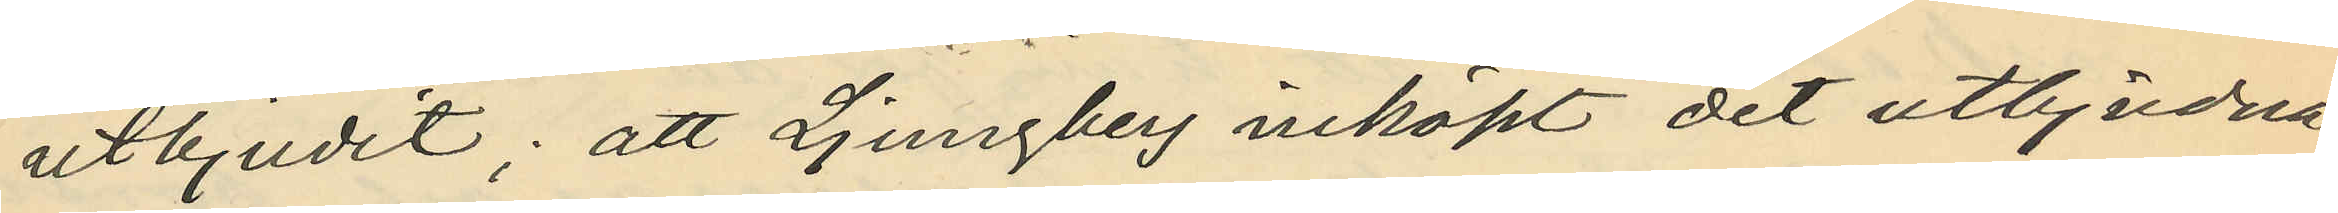utbjudit: att Ljungberg inköpt det utbjudna
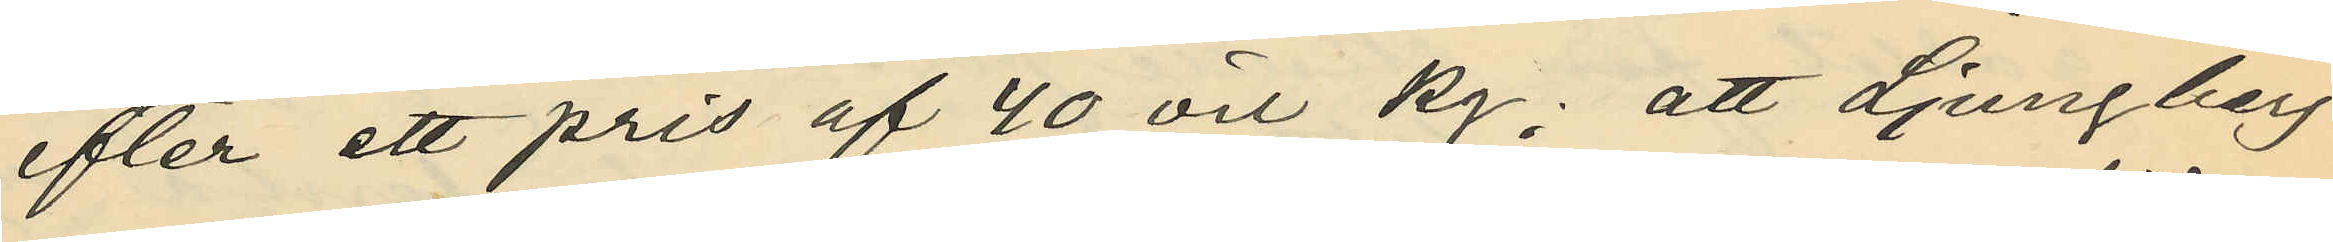efter ett pris af 40 öre kg; att Ljungberg
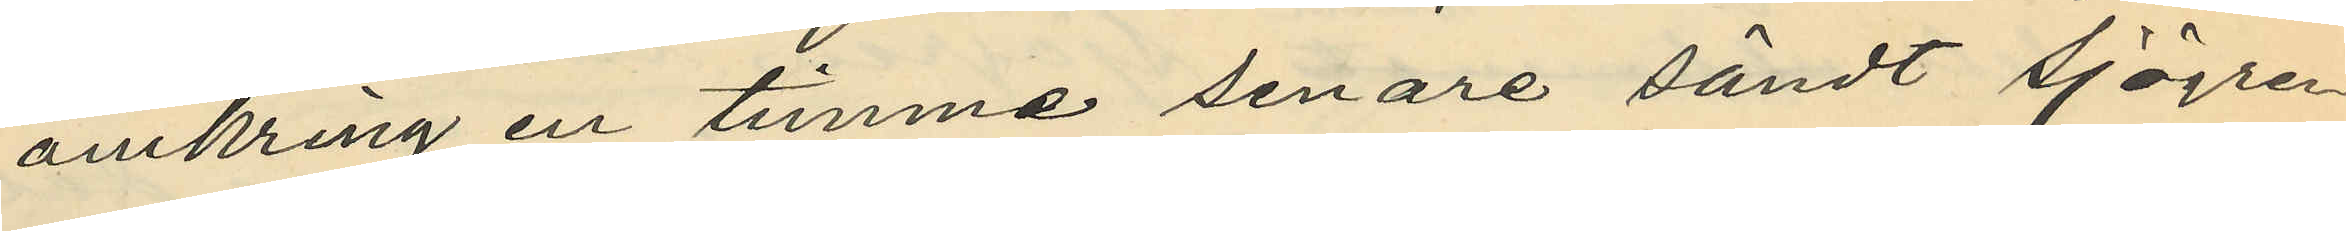omkring en timme senare sändt Sjögren
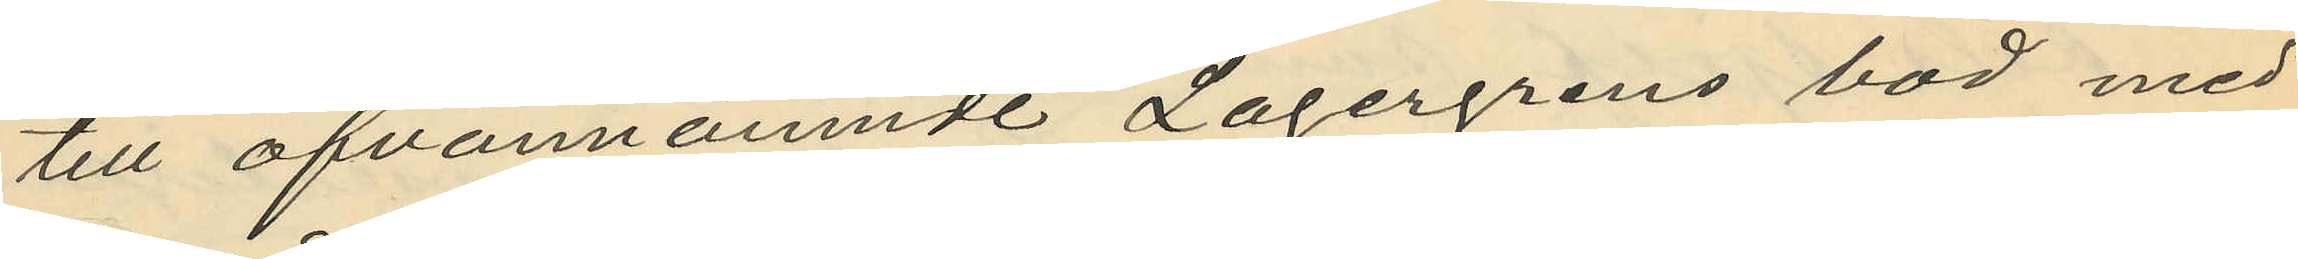till ofvannämnde Lagergrens bod med
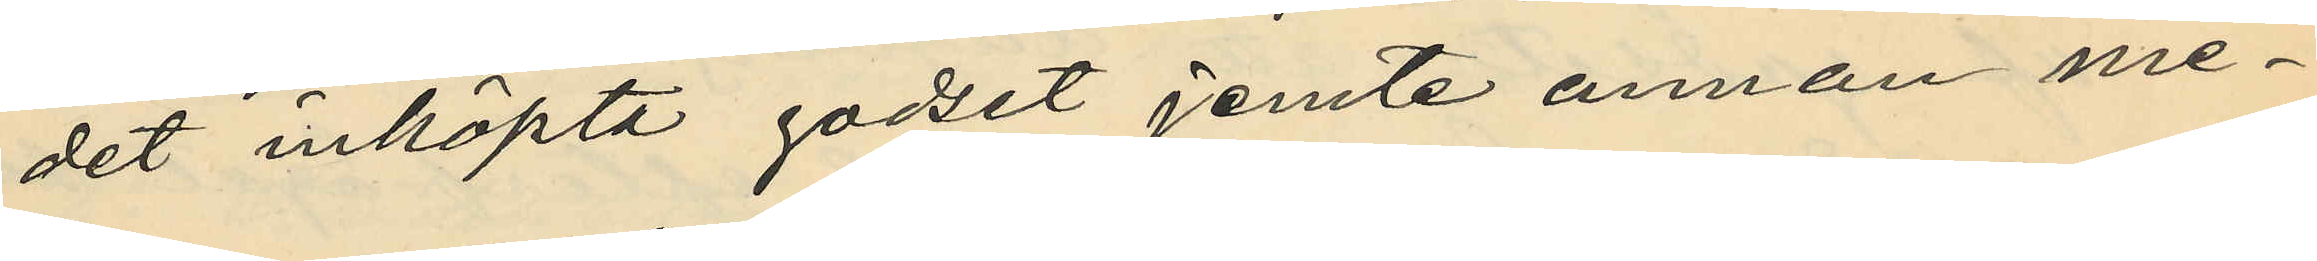det inköpta godset jemte annan me¬
